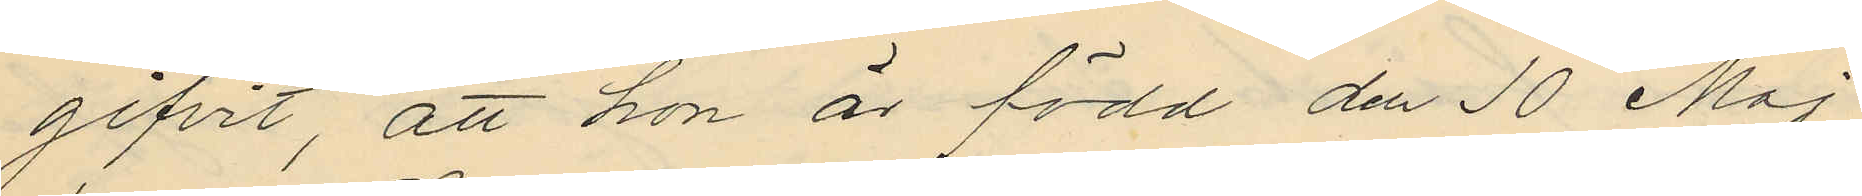gifvit, att hon är född den 10 Maj
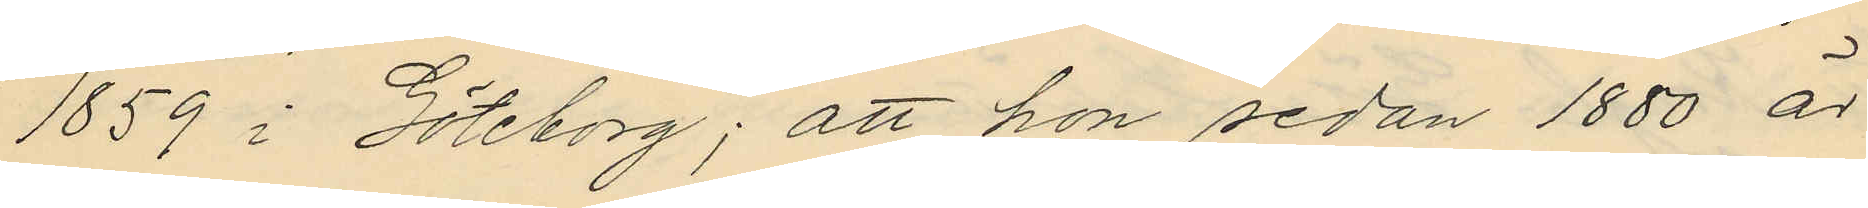1859 i Göteborg; att hon sedan 1880 är
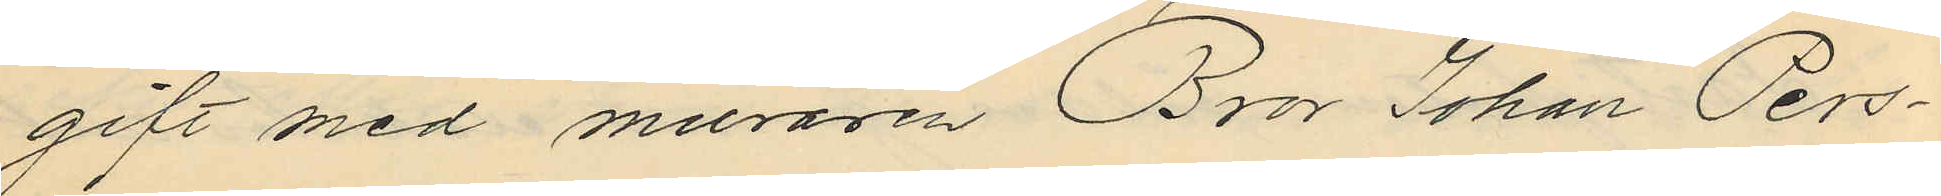gift med muraren Bror Johan Pers¬
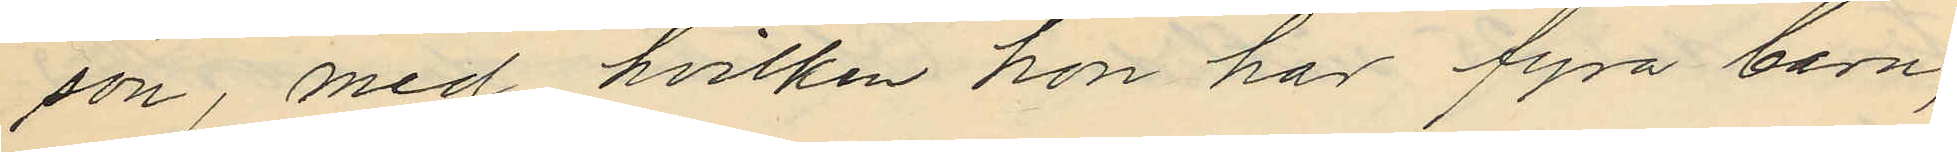son, med hvilken hon har fyra barn,
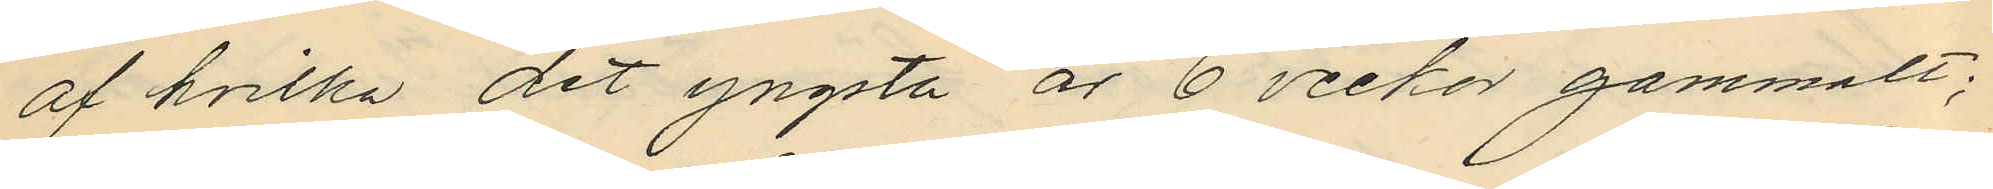af hvilka det yngsta är 6 veckor gammalt;
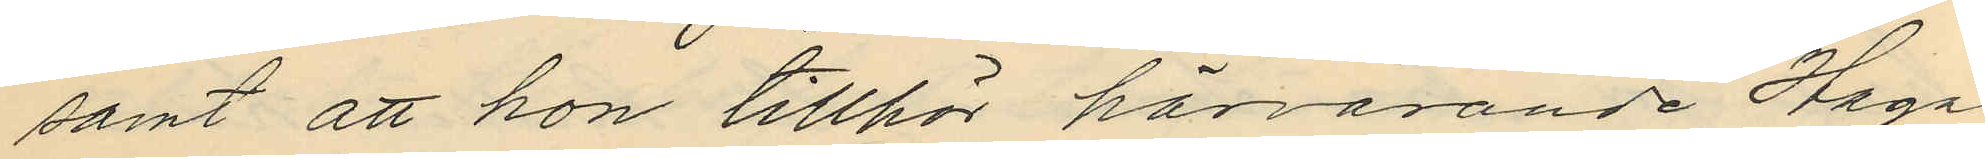samt att hon tillhör härvarande Haga
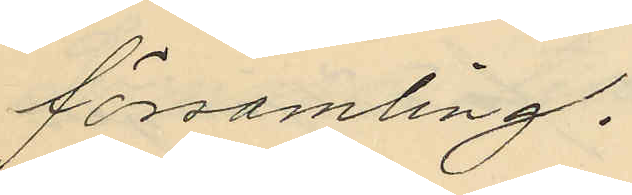församling.
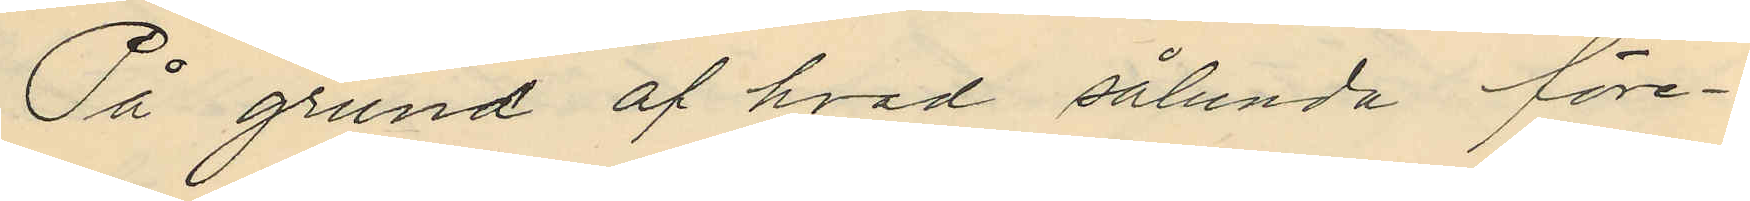På grund af hvad sålunda före¬
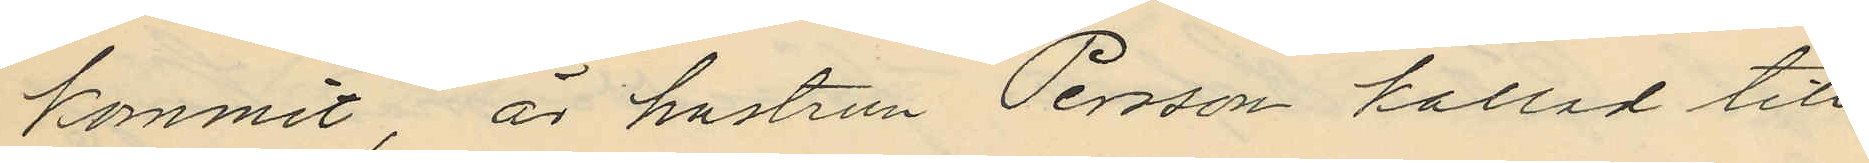kommit, är hustrun Persson kallad till
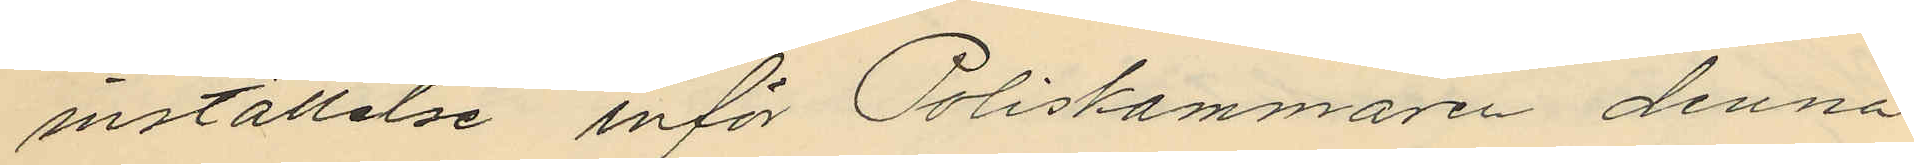inställelse inför Poliskammaren denna
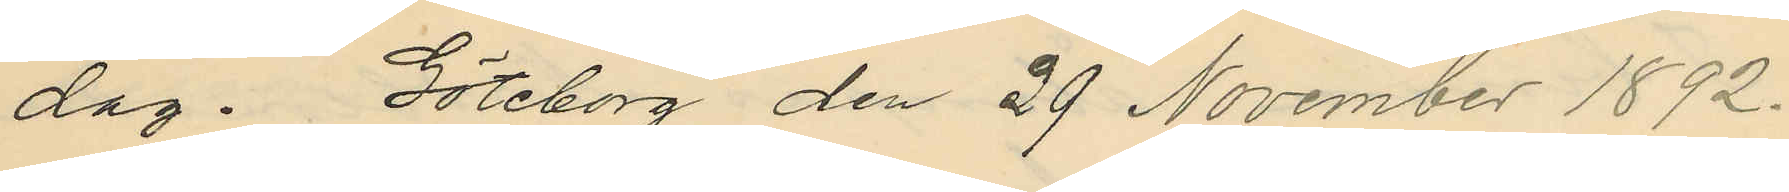dag. Göteborg den 29 November 1892.
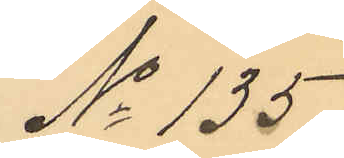No 135
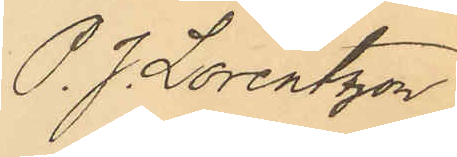P. J Lorentzon
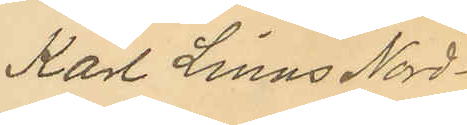Karl Linus Nord¬
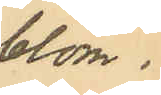blom.
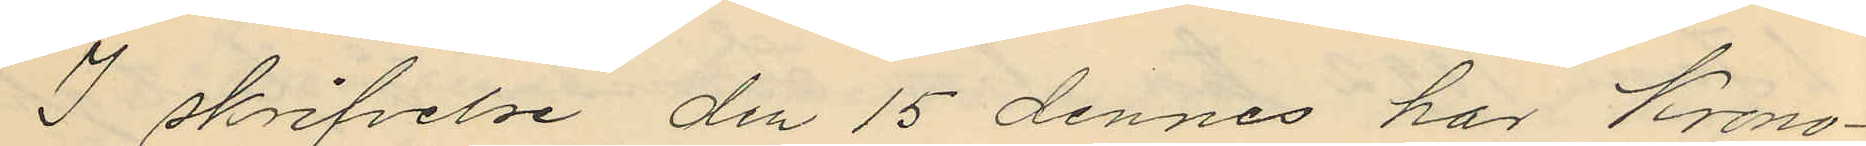I skrifvelse den 15 dennes har Krono¬
